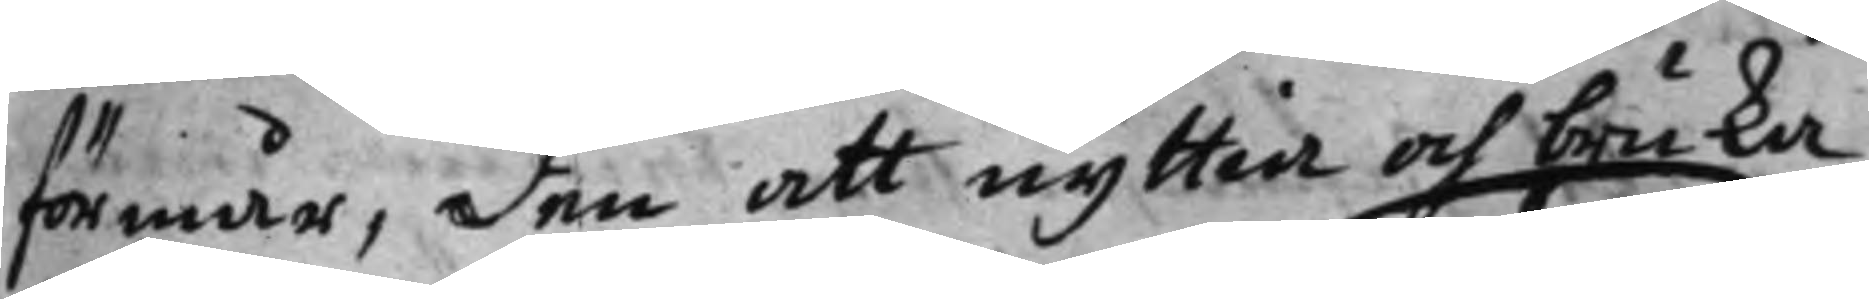förmår, den att nyttia och bruka
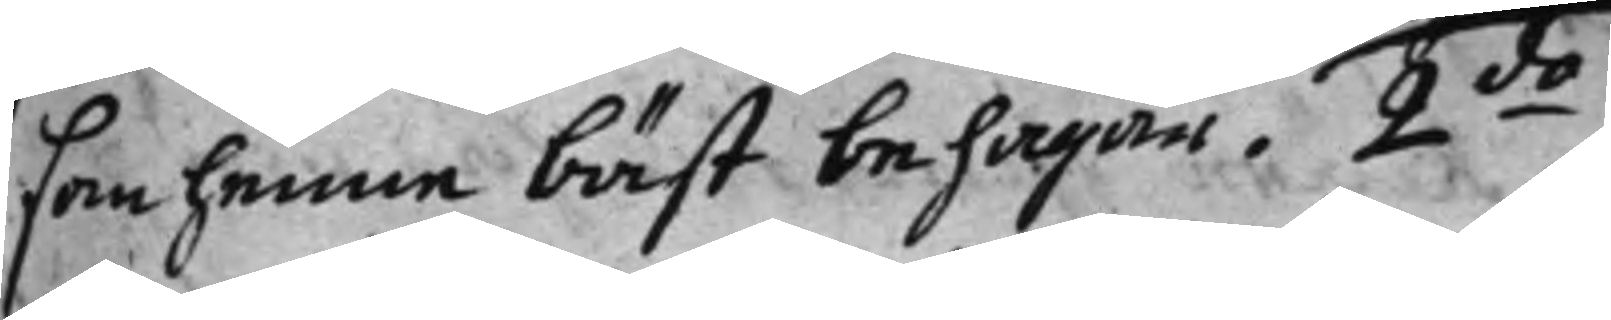son henne bäst behagar. 2:do 
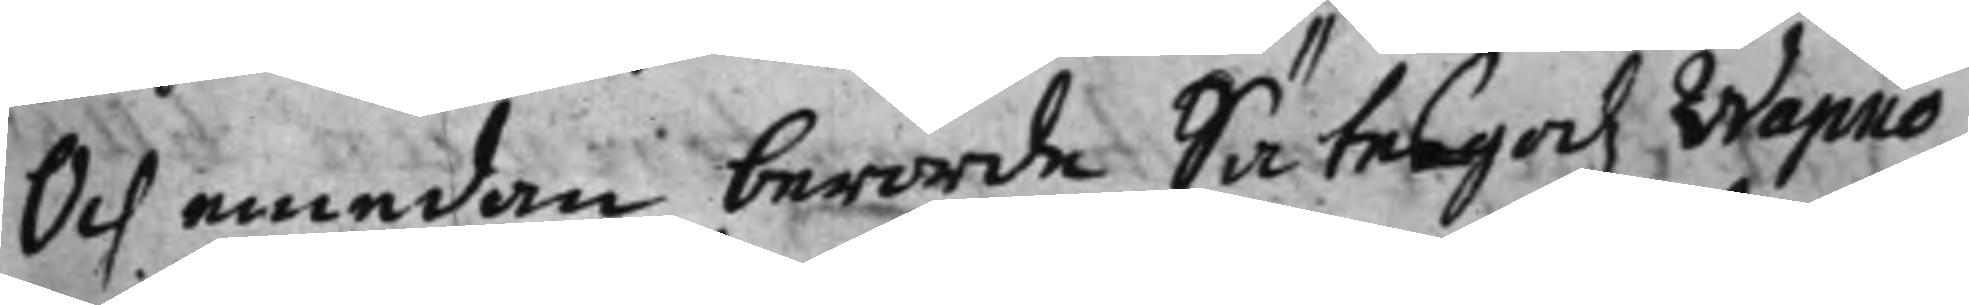Och emedan berörde Sätergodz Wapnö
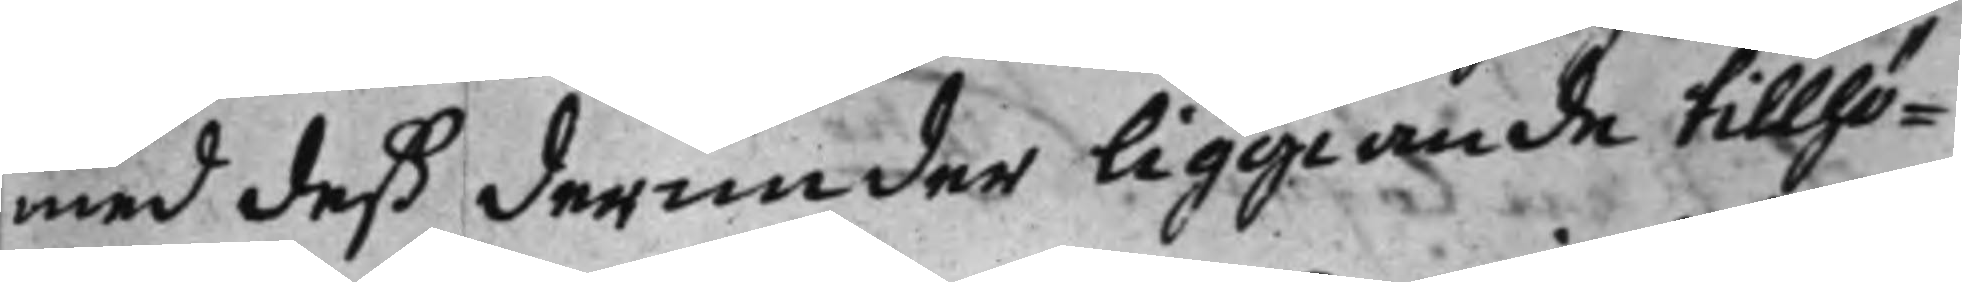med deß derunder liggiande tillhö¬
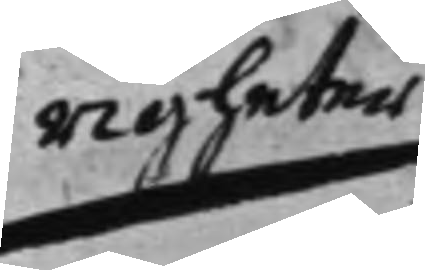righeter
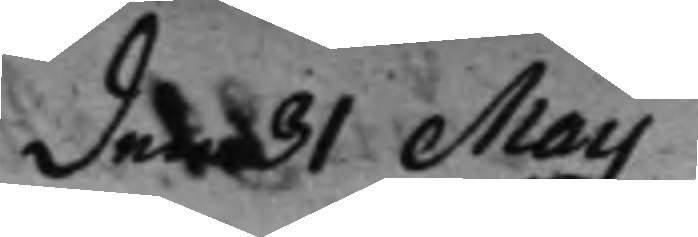den 31 Maij
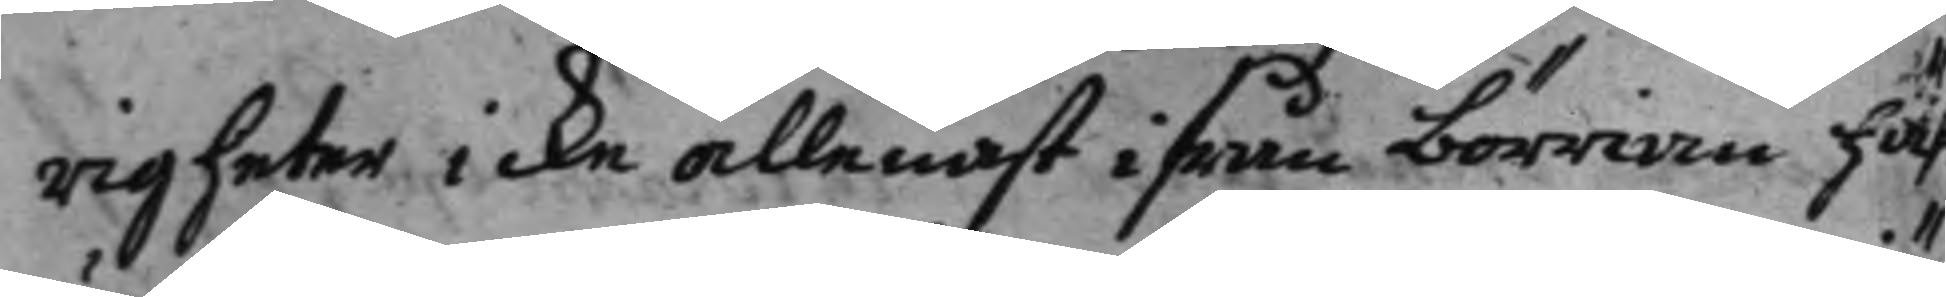righeter icke allenast ifrån börrian häf
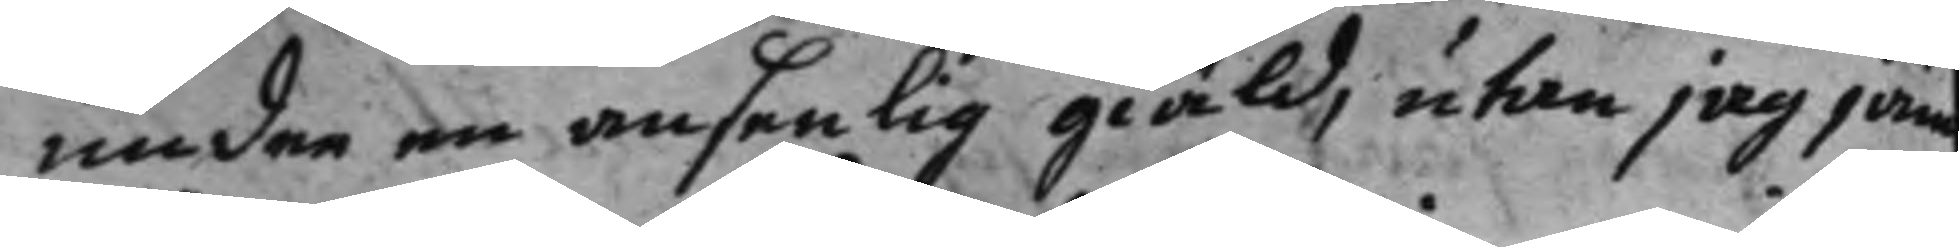under en ansenlig giäld, utan jag jäm¬
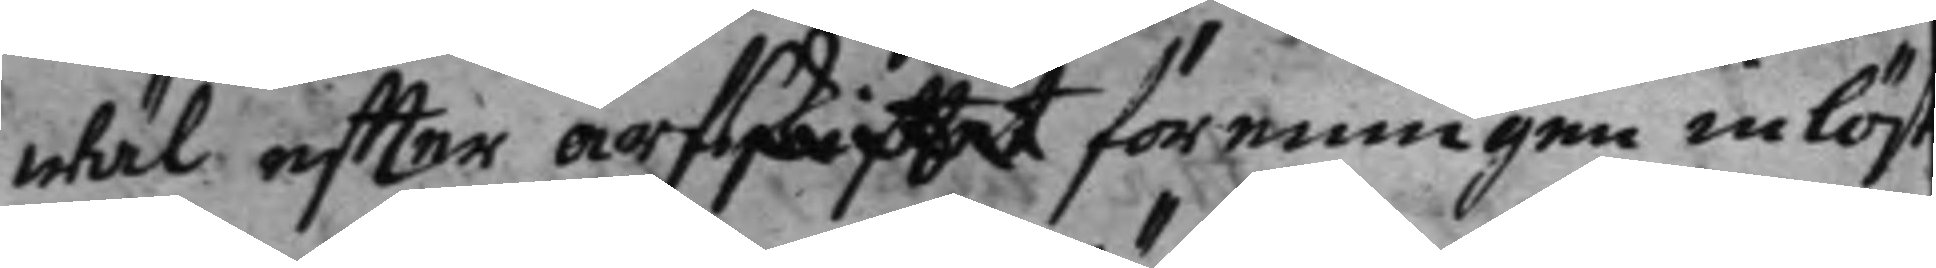wäl effter arfskiftet föreningen inlöst
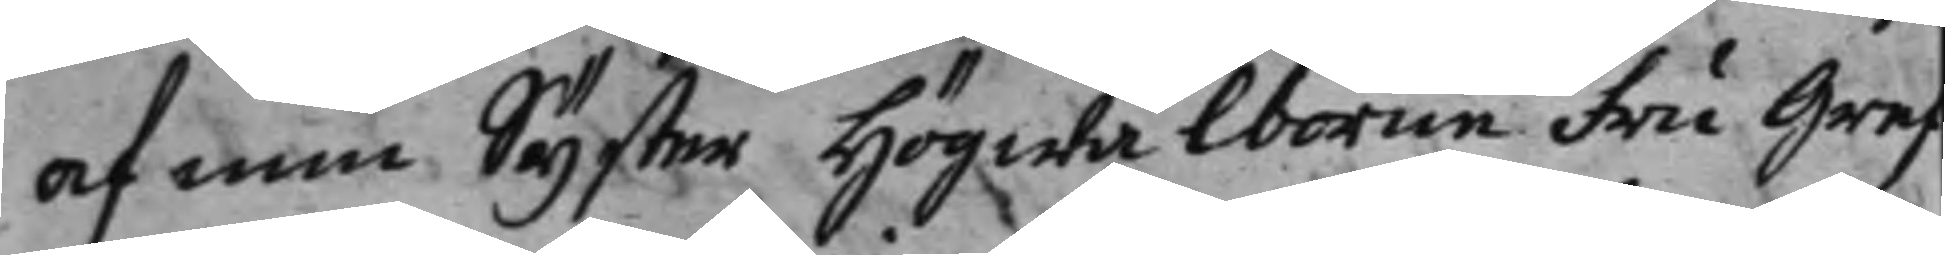af min Syster Högwälborne fru Gref¬
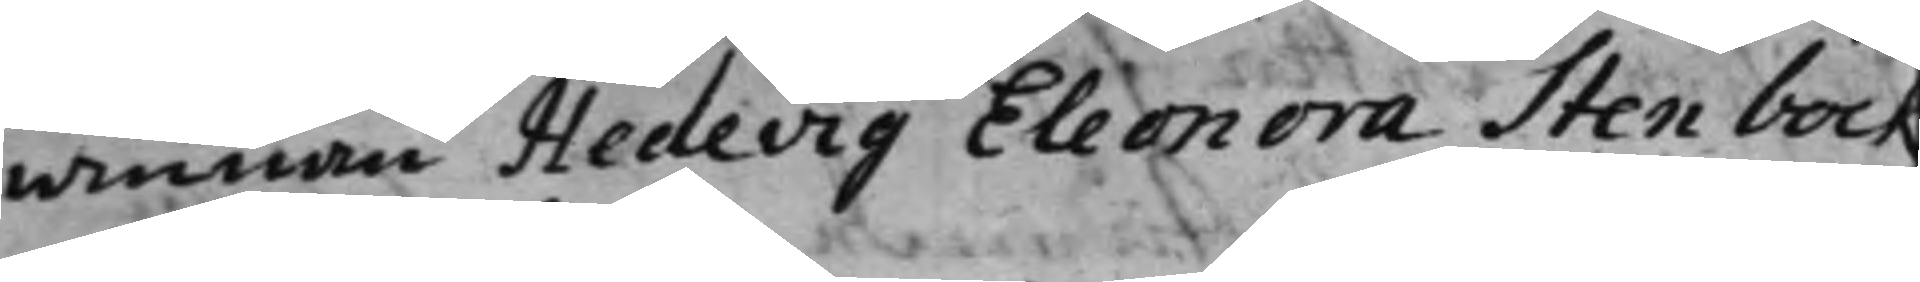winnan Hedevig Eleonora Stenbock
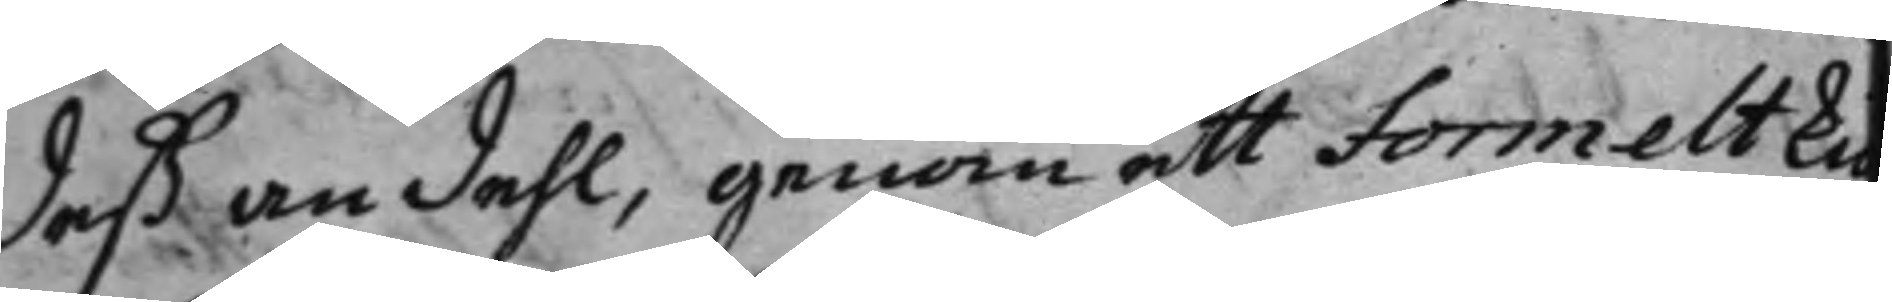deß andehl, genom ett formelt kiö¬
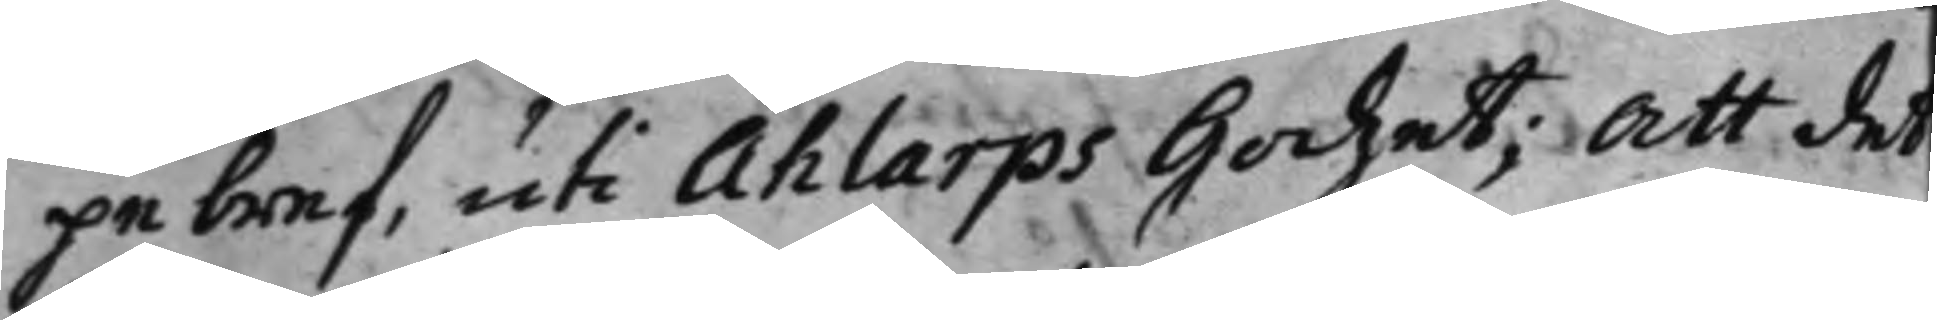pebref, uti Ahlarps Godzet; Att det
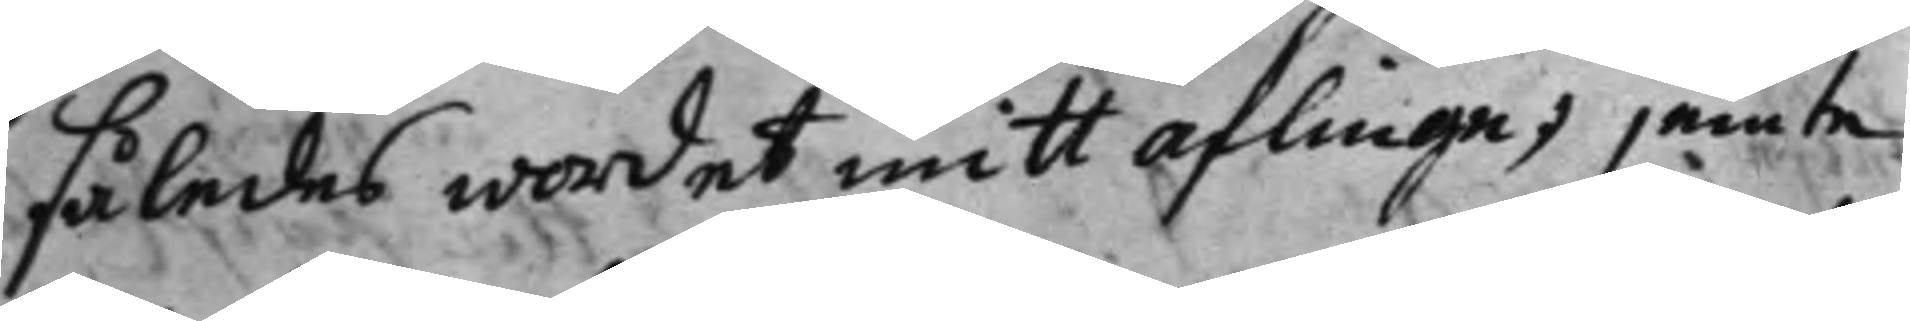således wordet mitt aflinge; jemte
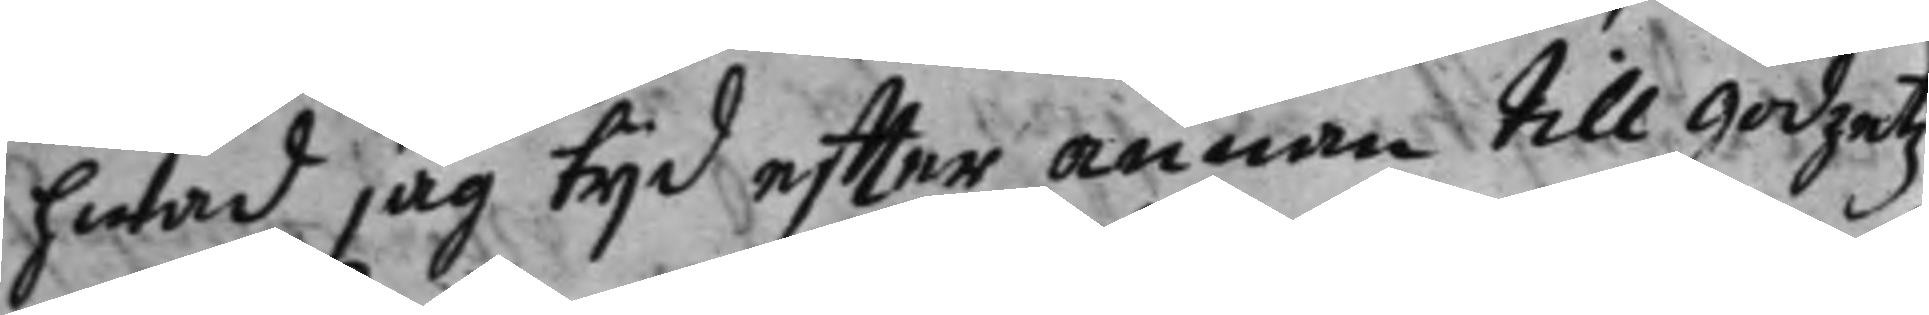hwad jag tijd effter annan till godzetz
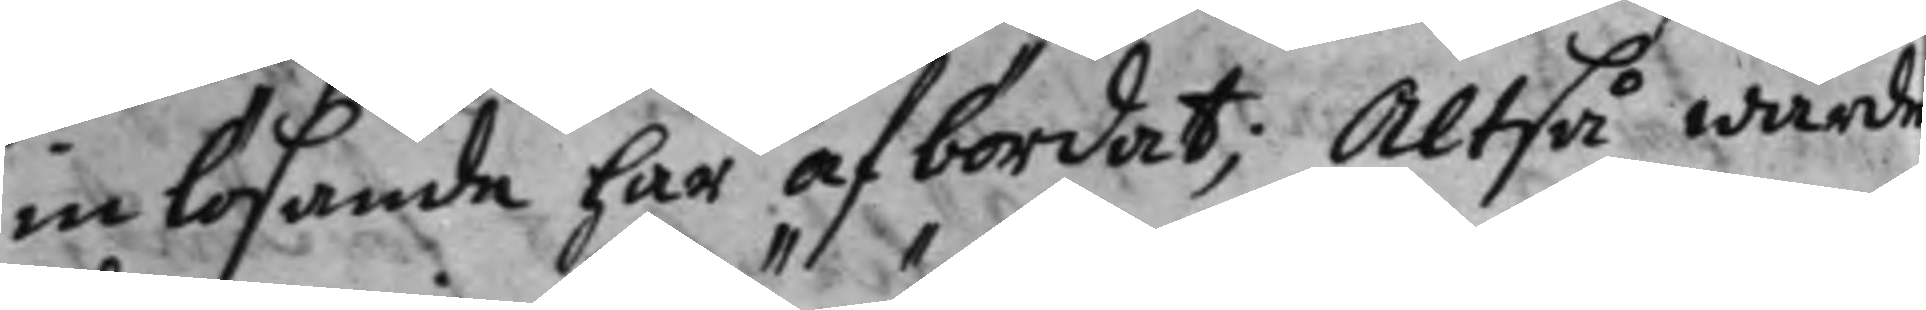inlösande har afbördat; Altså warde
